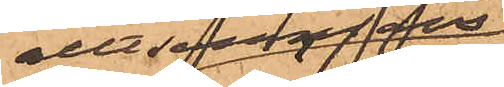alltsammans
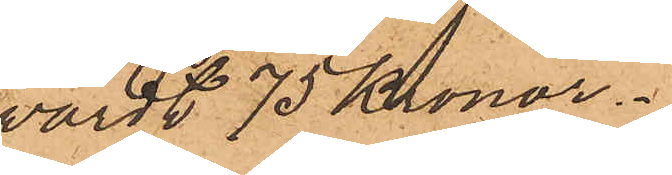värdt 75 Kronor.
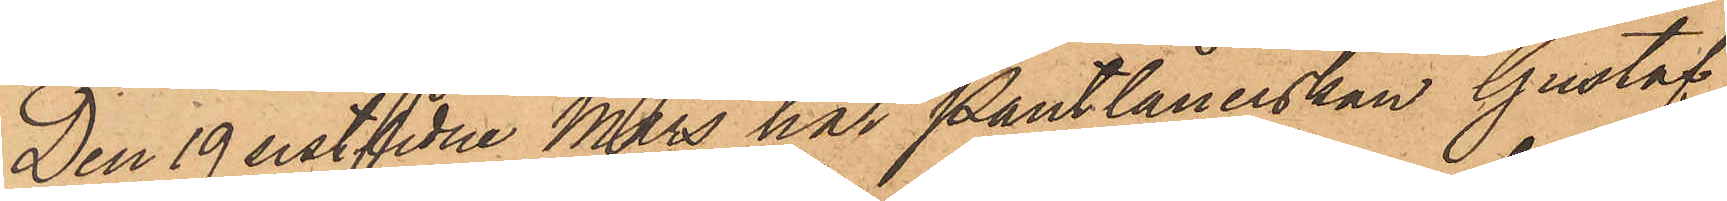Den 19 sistlidne Mars har Pantlånerskan Gustaf¬
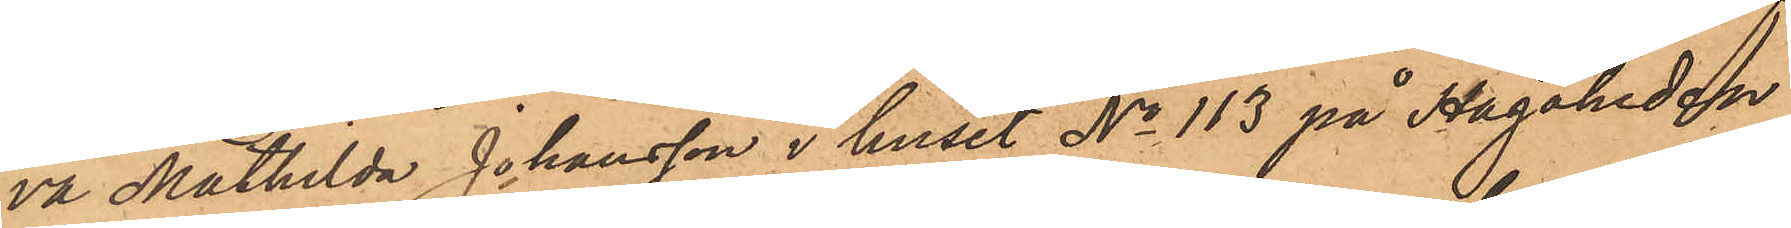va Mathilda Johansson i huset No 113 på Hagaheden
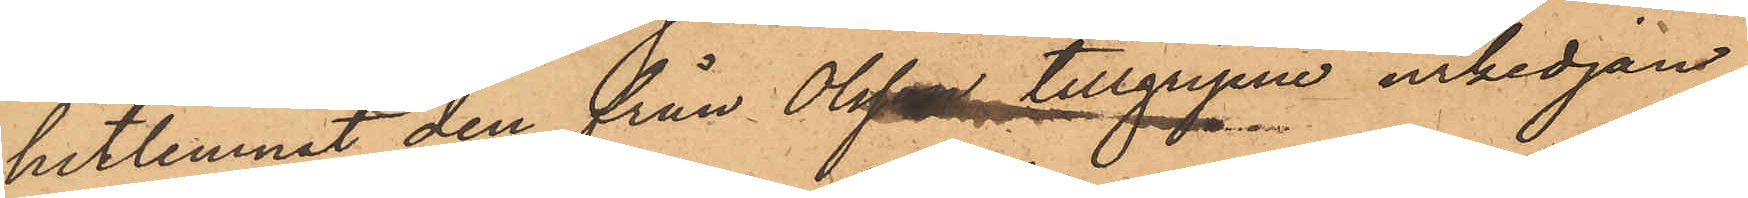hitlemnat den från Olsson tillgripne urkedjan,
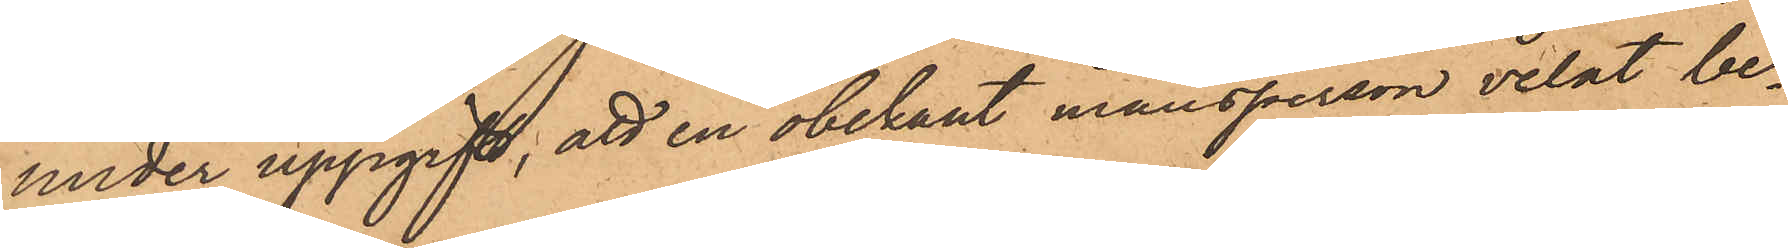under uppgift, att en obekant mansperson velat be¬
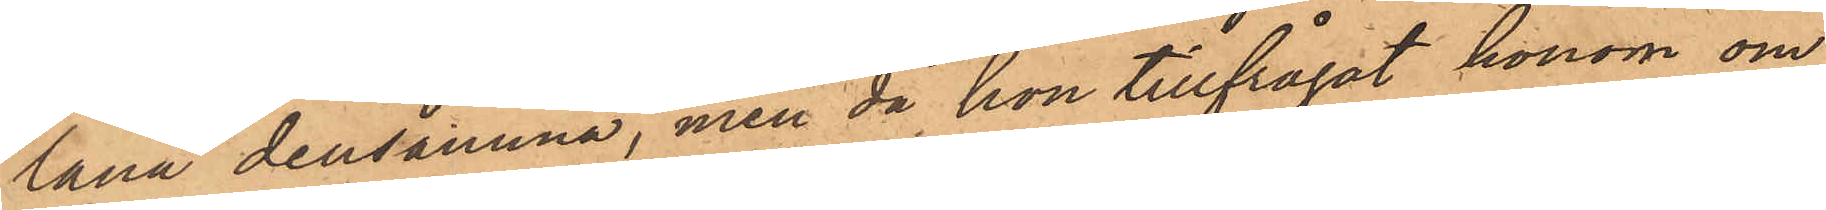låna densamma, men då hon tillfrågat honom om
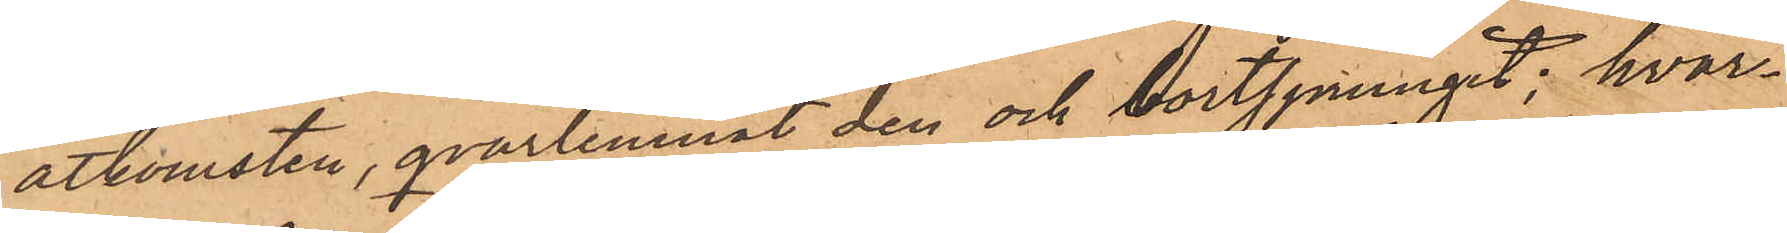åtkomsten, qvarlemnat den och bortsprungit, hvar¬
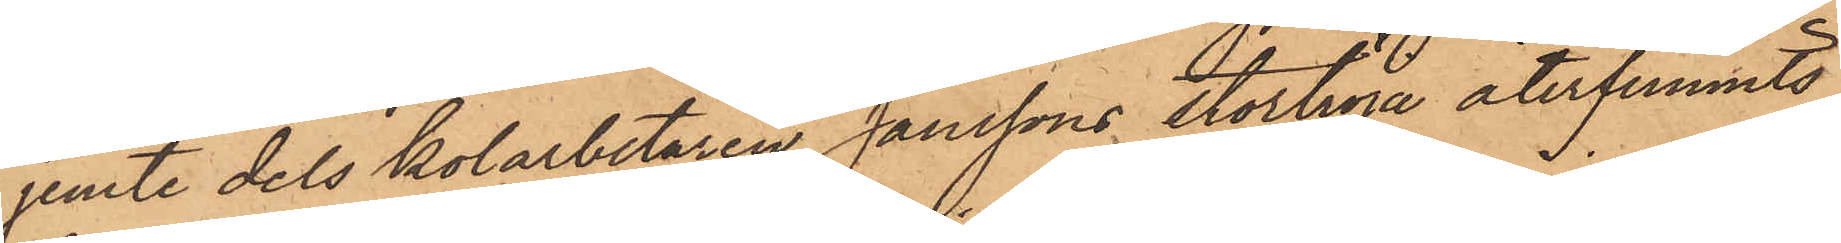jemte dels kolarbetaren Janssons stortröja återfunnits
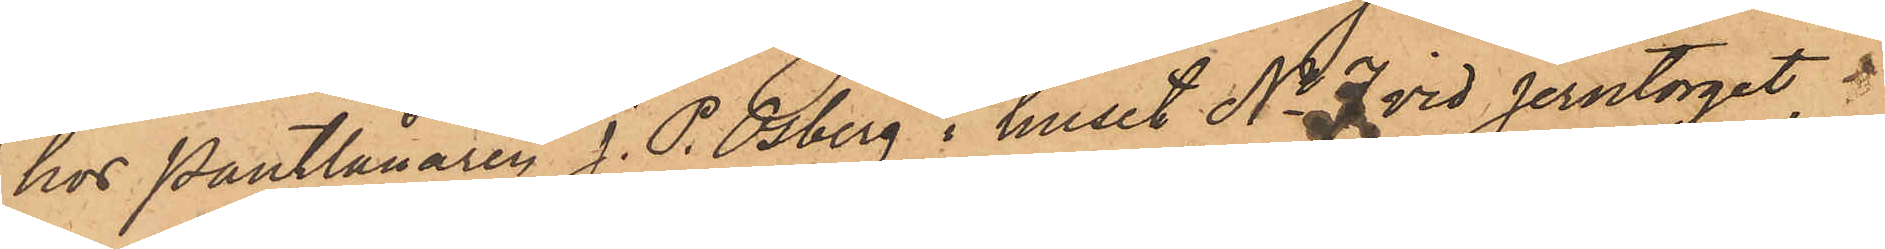hos Pantlånaren J. P. Osberg i huset No 7 vid Jerntorget, 
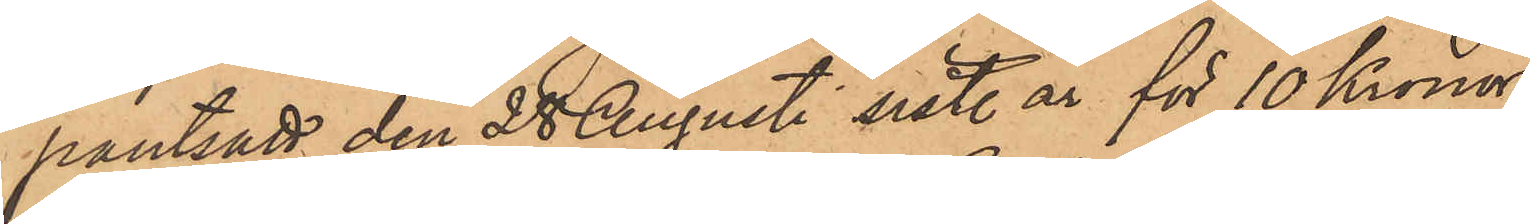pantsatt den 28 Augusti sist. år för 10 Kronor,
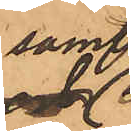samt
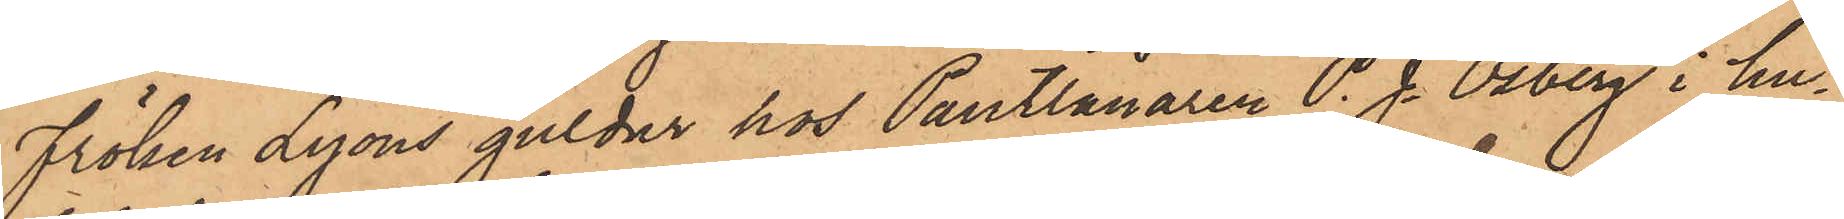fröken Lyons guldur hos Pantlånaren P. J. Osberg i hu¬
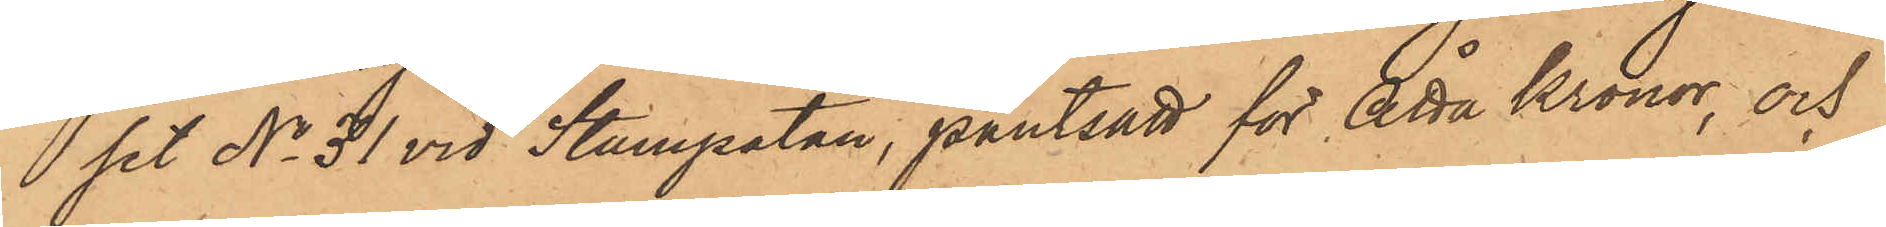set No 31 vid Stampatan, pantsatt för Åtta Kronor, och
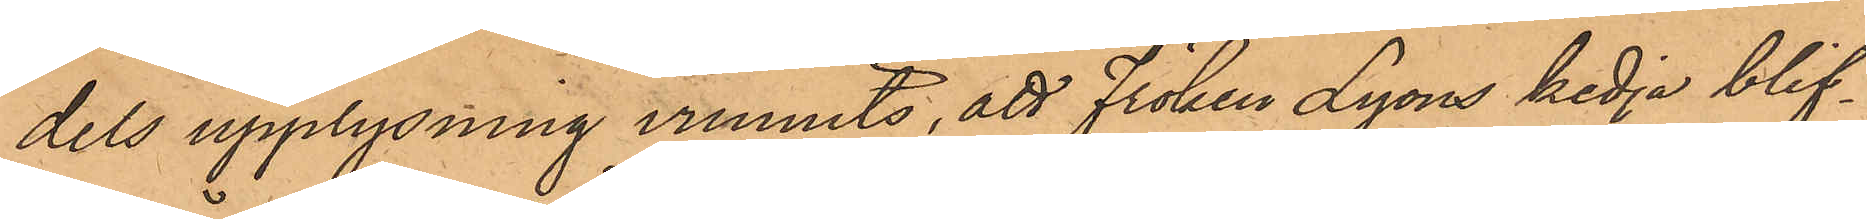dels upplysning vunnits, att Fröken Lyons kedja blif¬
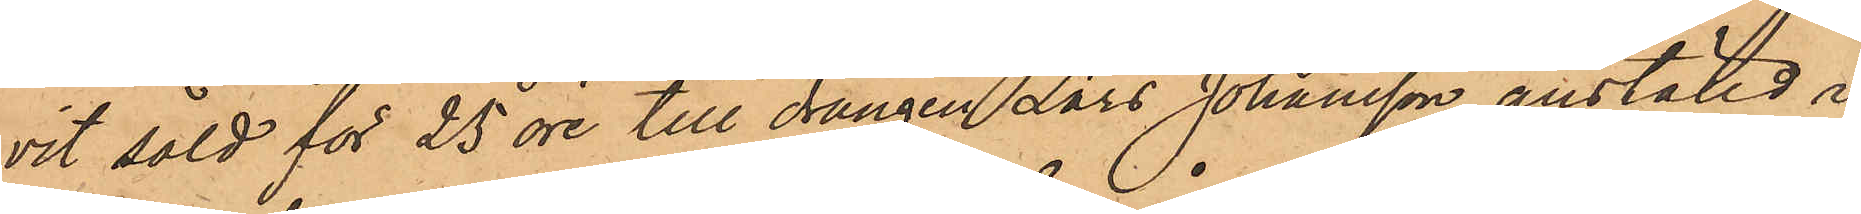vit såld för 25 öre till drängen Lars Johansson, anställd i
